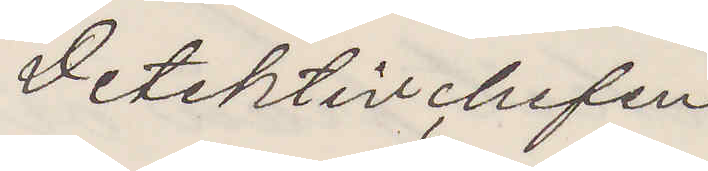Detektivchefen
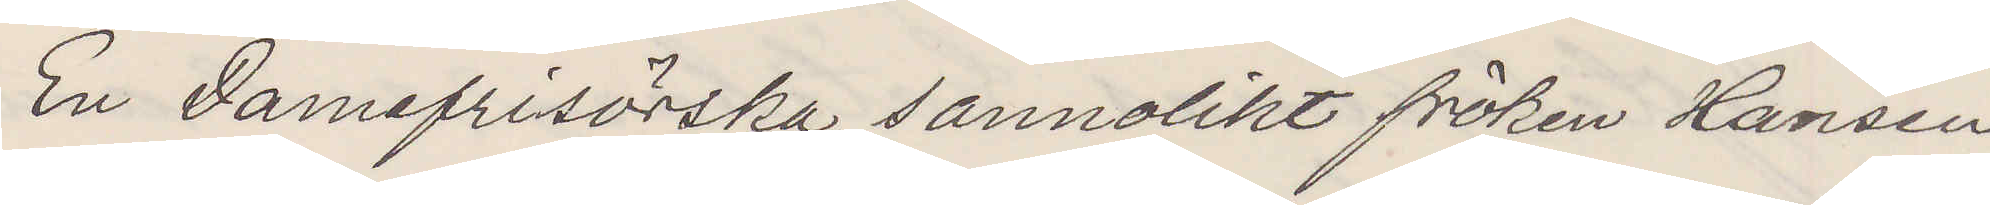En Damefrisörska sannolikt fröken Hansen
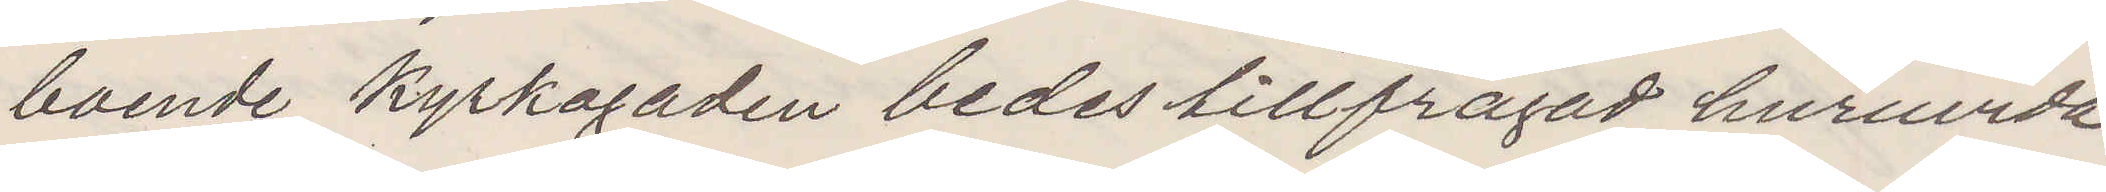boende Kyrkogaden bedes tillfrågad huruvida
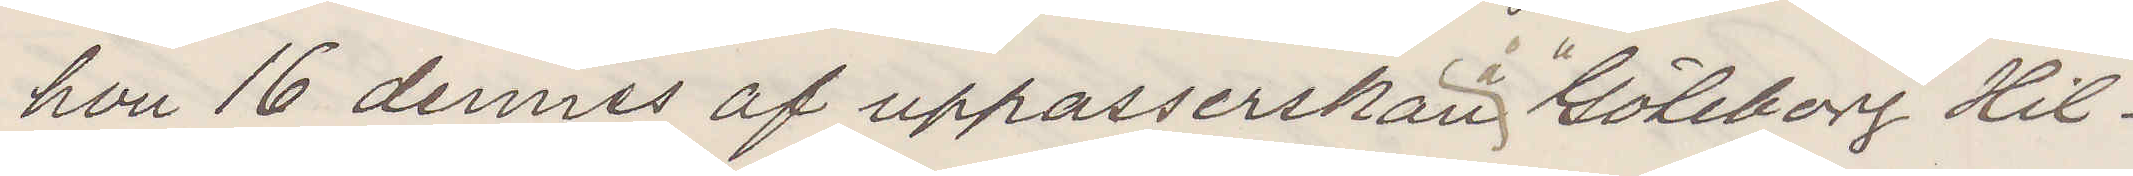hon 16 dennes af uppasserskan å Göteborg Hil¬
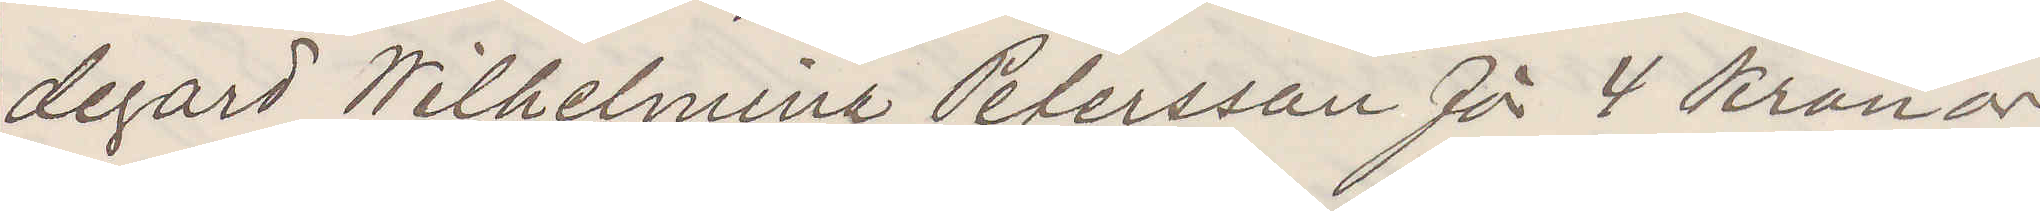degard Wilhelmina Petersson för 4 Kronor
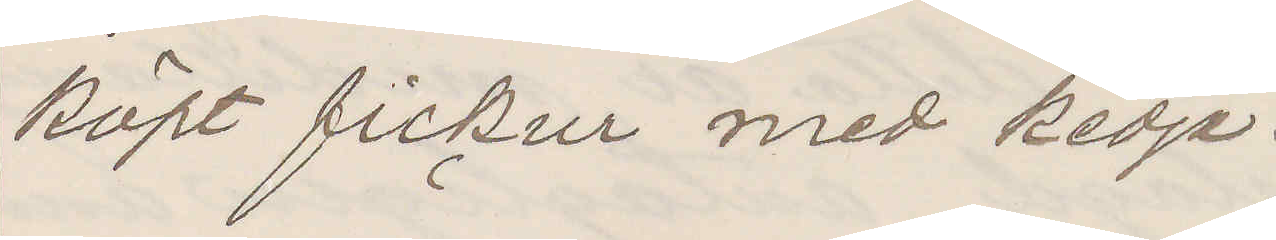köpt fickur med kedja.
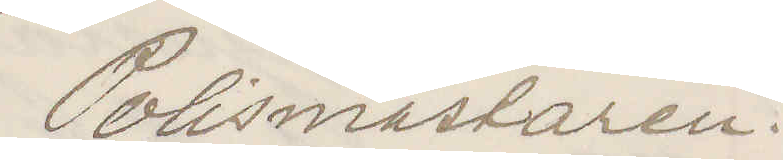Polismästaren.
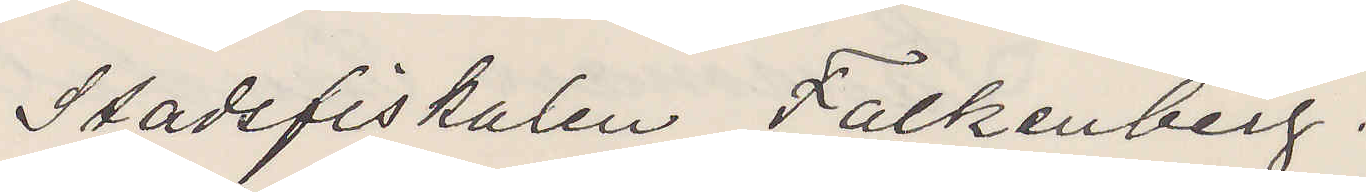Stadsfiskalen Falkenberg.
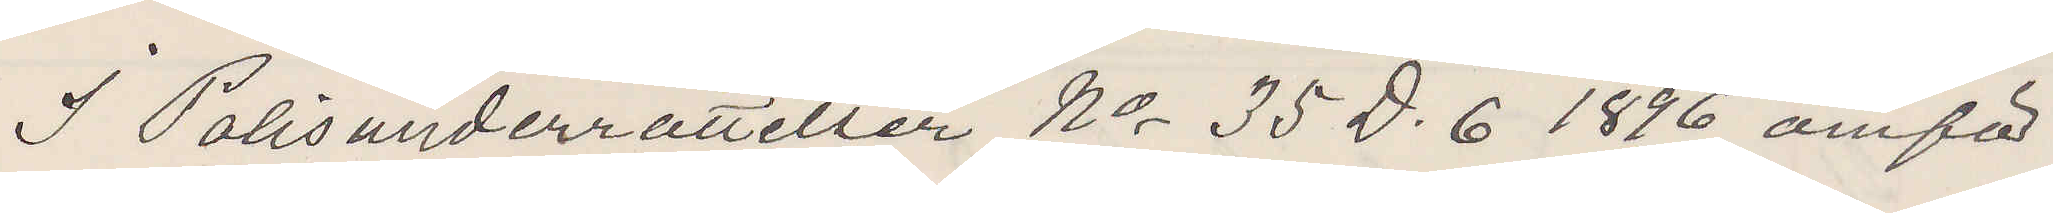I Polisunderrättelser No 35 D. 6 1896 omför¬
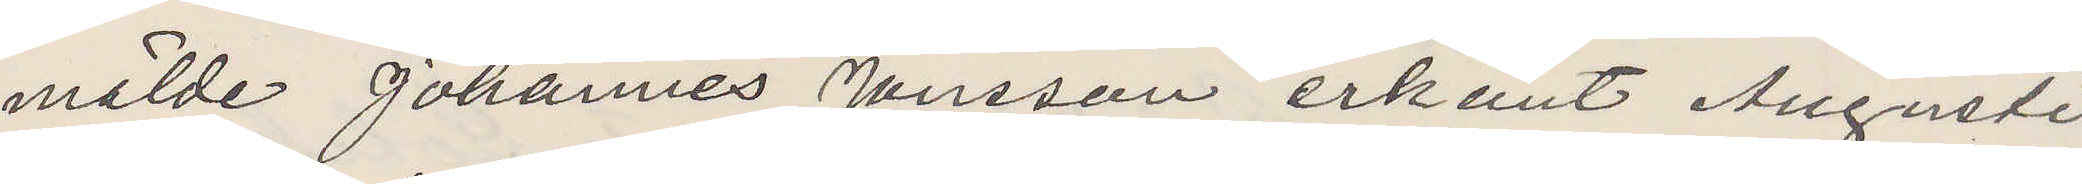mälde Johannes Jönsson erkänt Augusti
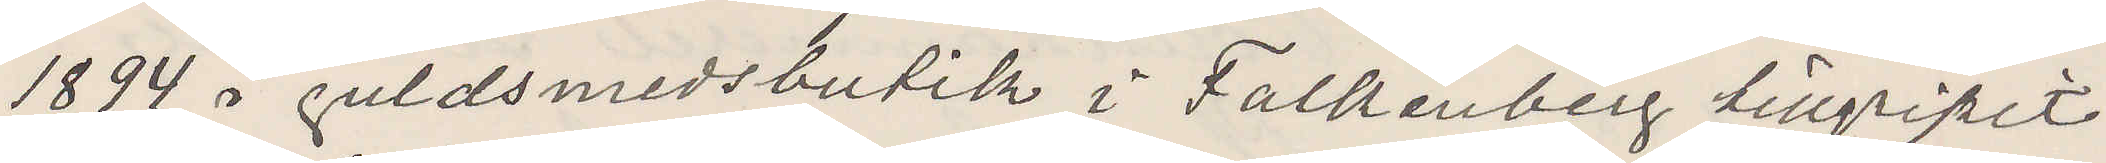1894 i guldsmedsbutik i Falkenberg tillgripit
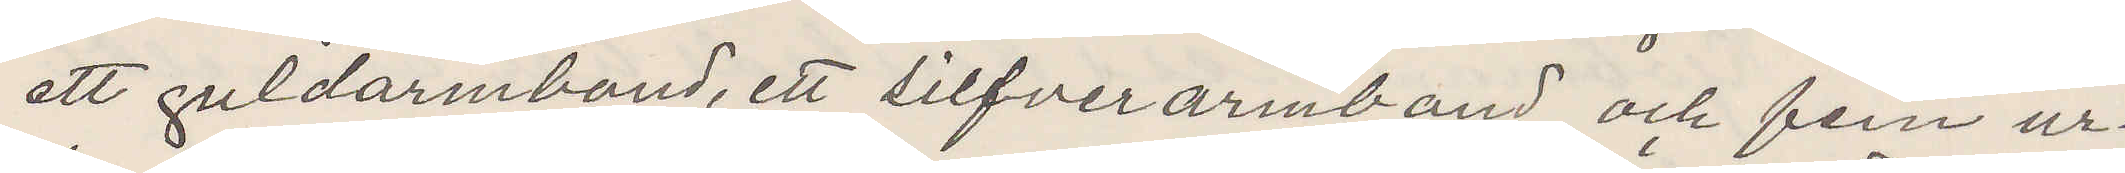ett guldarmband ett silfverarmband och fem ur¬
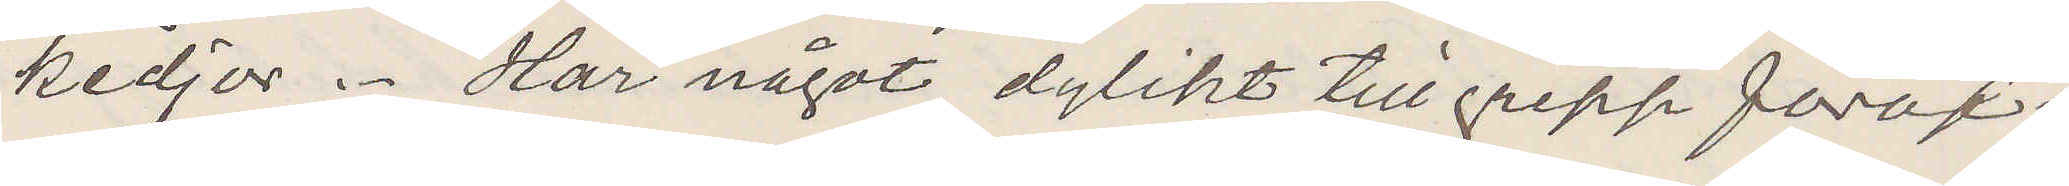kedjor. Har något dylikt tillgrepp föröf¬
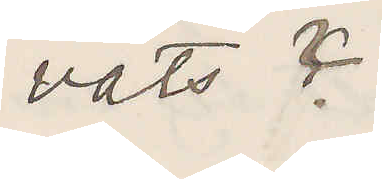vats?
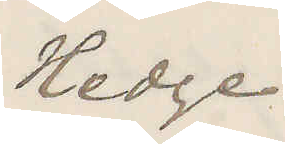Hedge
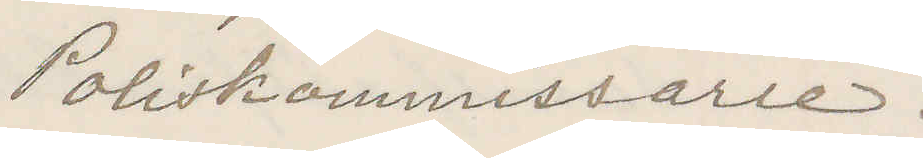Poliskommissarie.
